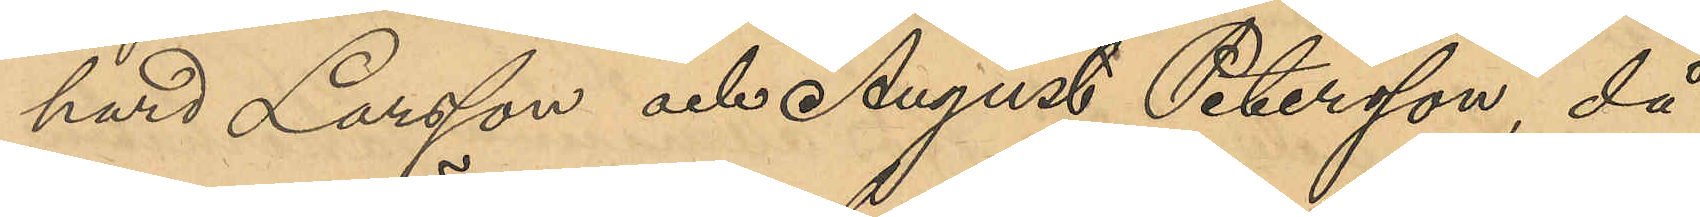hard Larsson och August Petersson, då
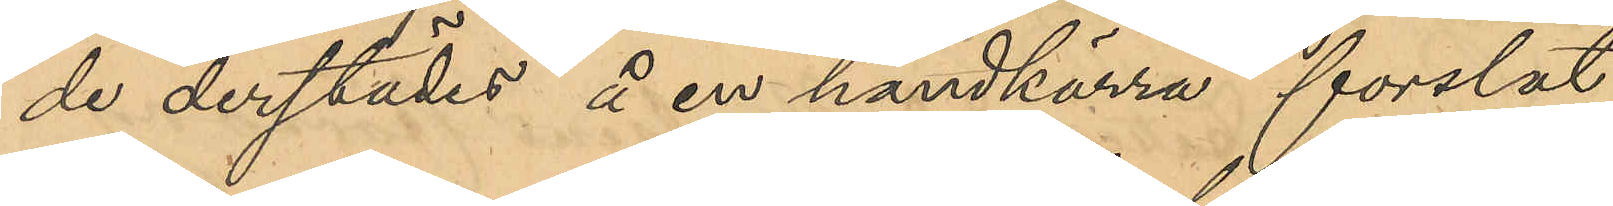de derstädes å en handkärra forslat
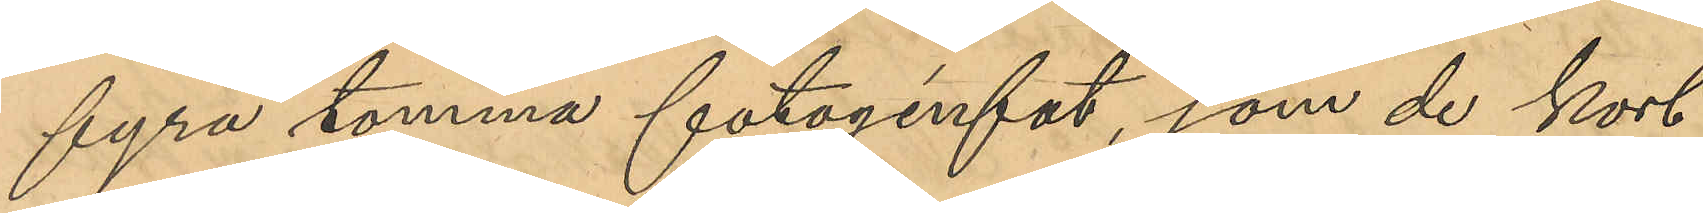fyra tomma fotogenfat, som de kort
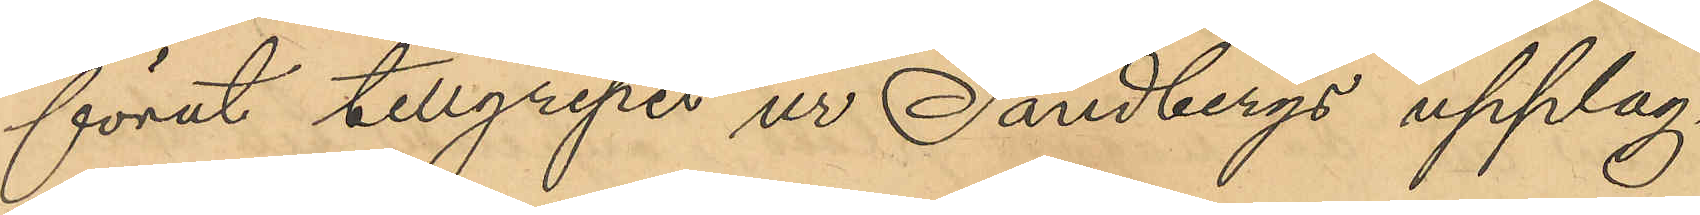förut tillgripit ur Sandbergs upplag¬
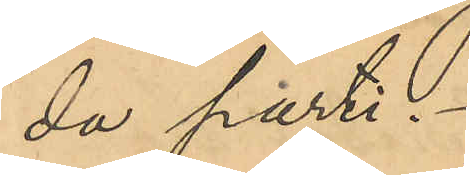da parti.
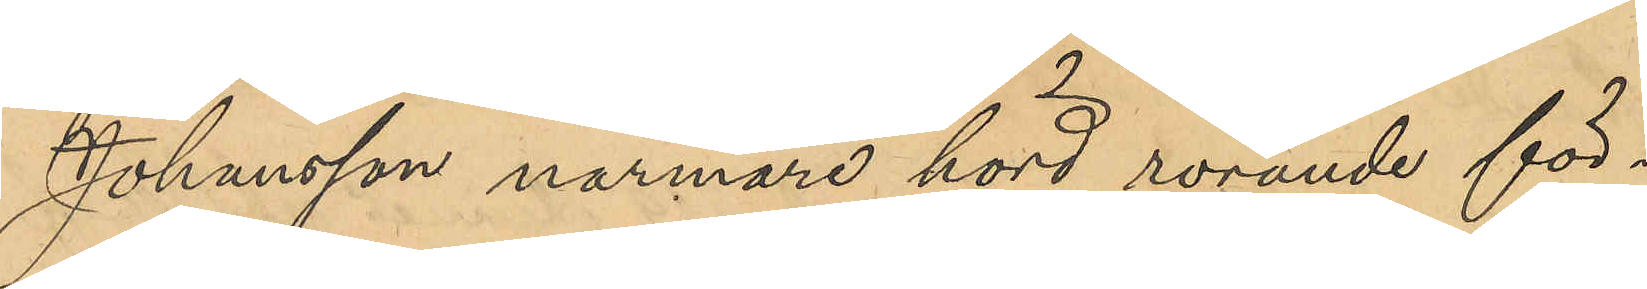Johansson närmare hörd rörande för¬
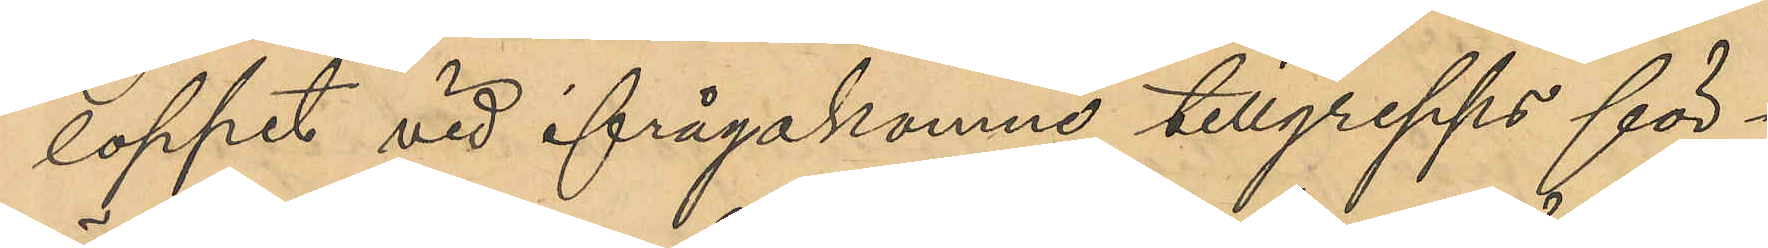loppet vid ifrågakomne tillgrepps för¬
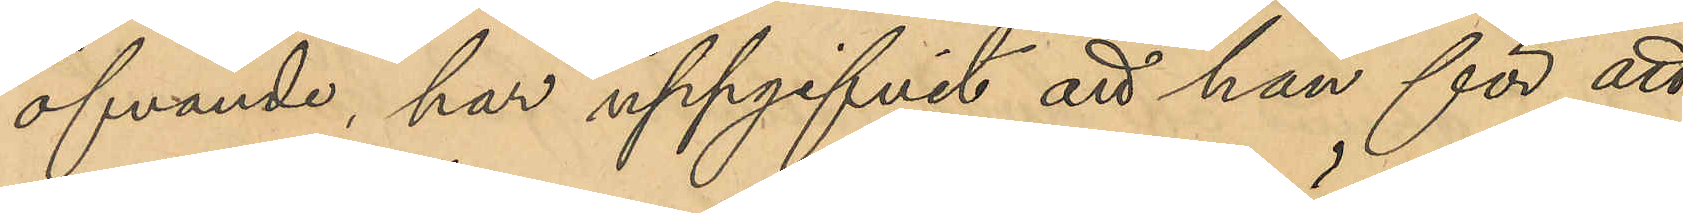öfvande, har uppgifvit att han för att
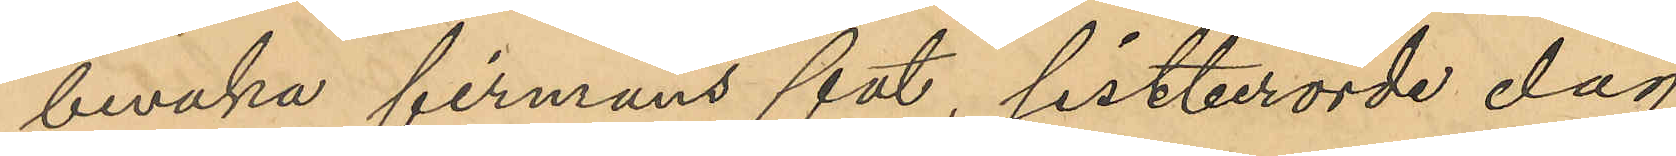bevaka firmans fat, sistberörde dag
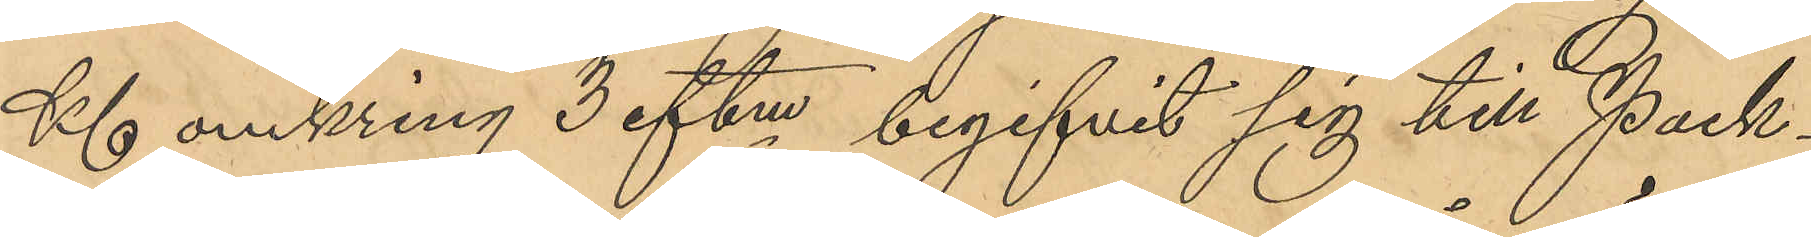Kl 6 omkring 3 eftm begifvit sig till Pack¬
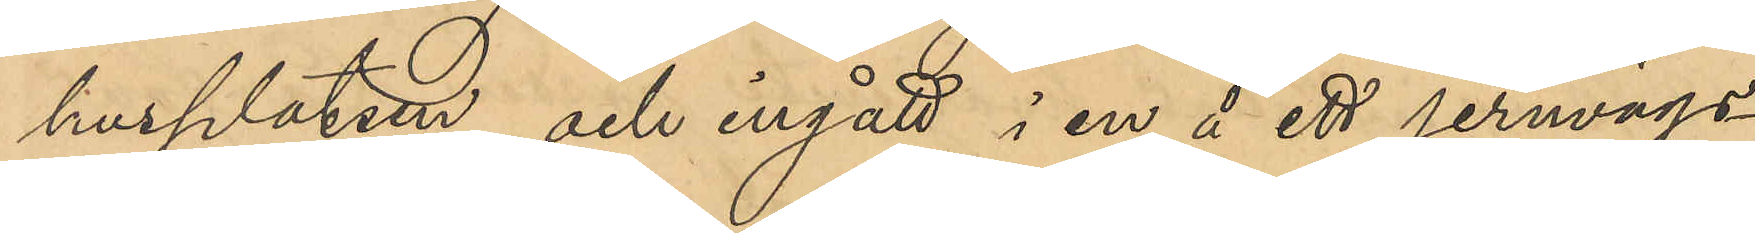husplatsen och ingått i en å ett jernägs¬
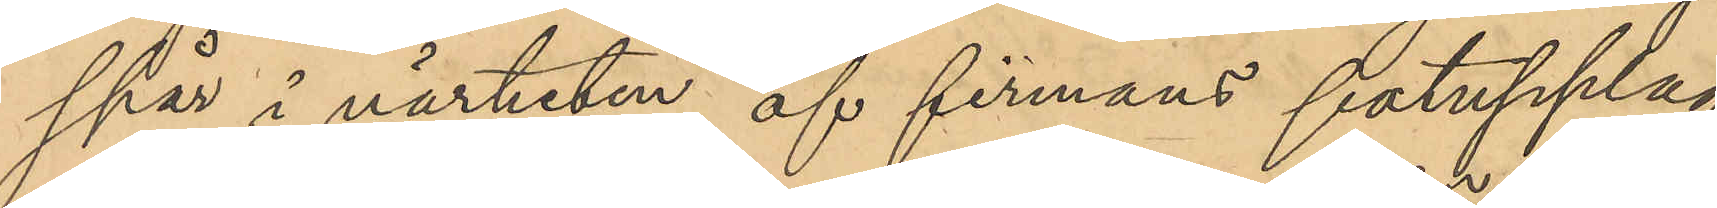spår i närheten af firmans fatupplag
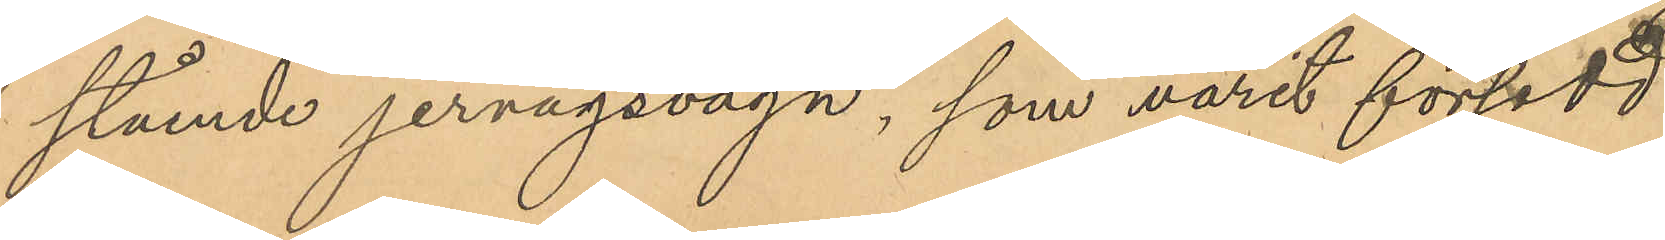stående jernvägsvagn, som varit försedd
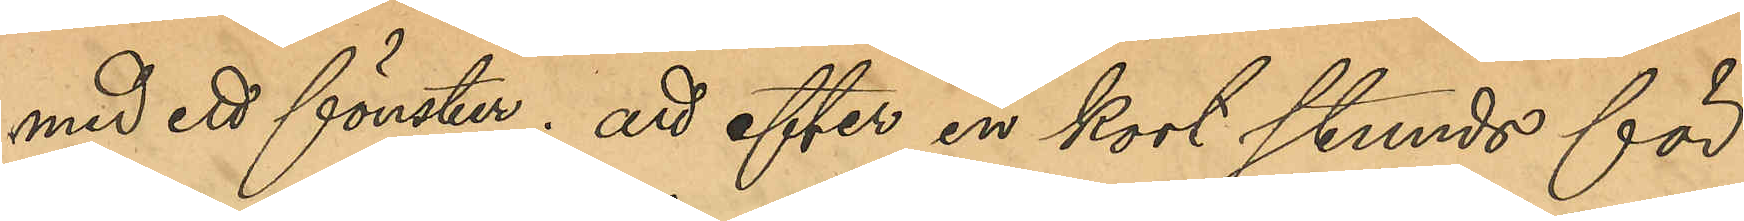med ett fönster; att efter en kort stunds för¬
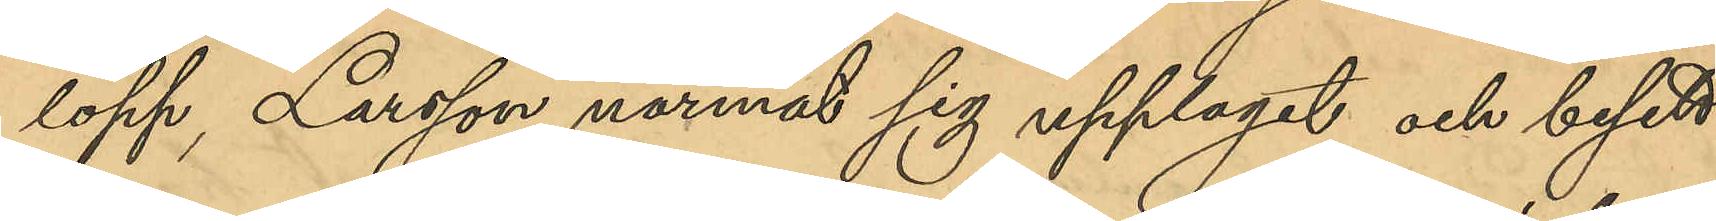lopp Larsson närmat sig upplaget och besett
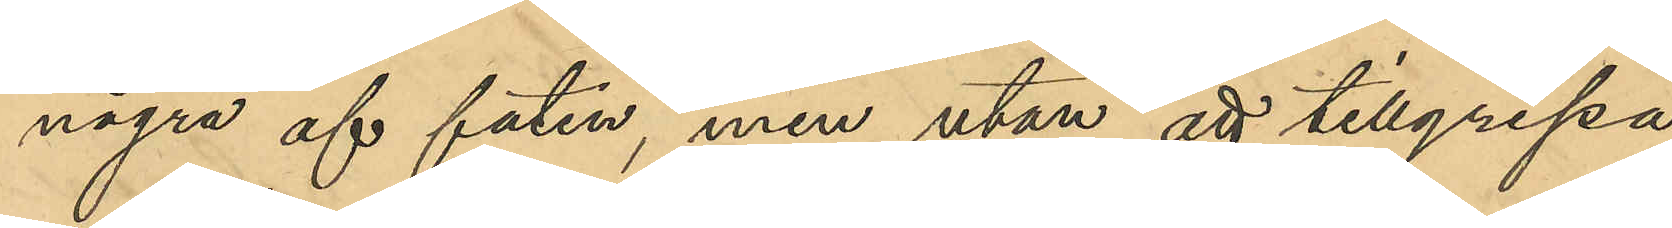några af faten, men utan att tillgripa
